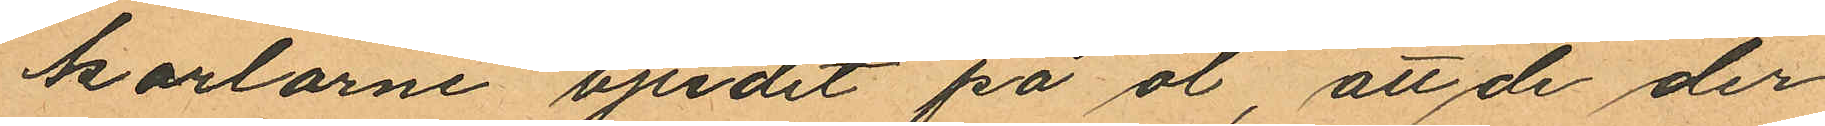karlarne bjudit på öl, att de der¬
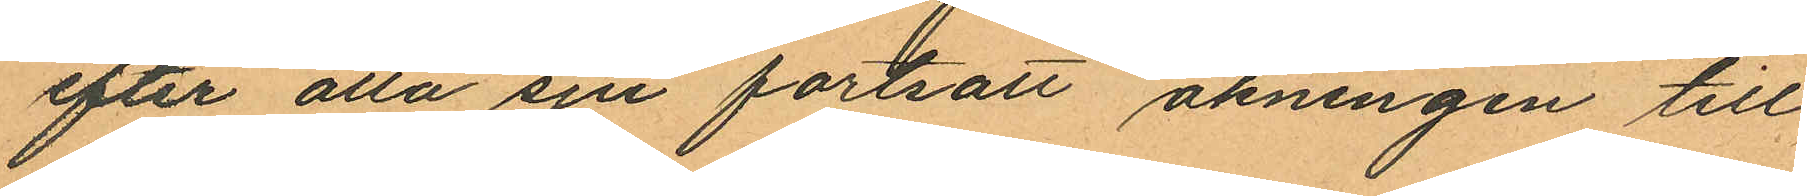efter alla sju fortsatt åkningen till
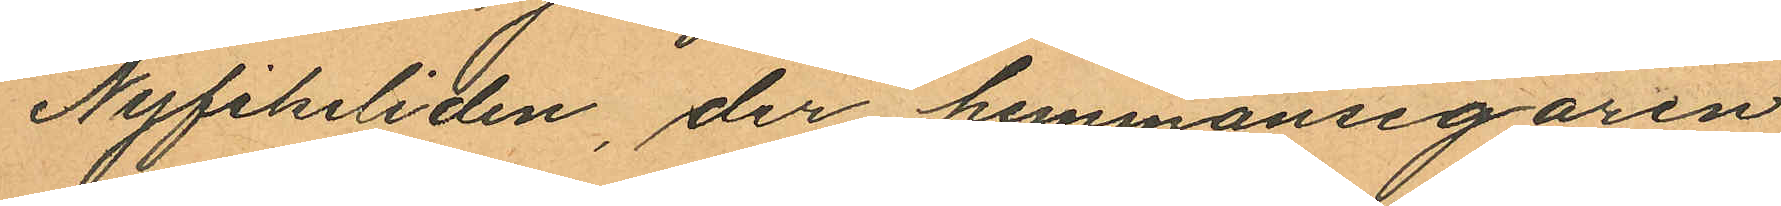Nyfikeliden, der hemmansegaren
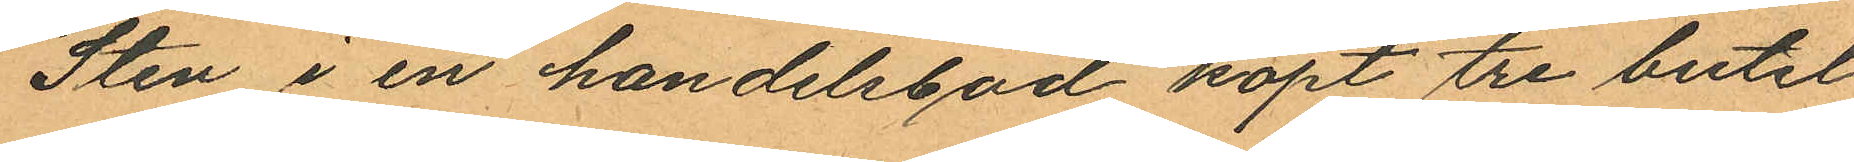Sten i en handelsbod köpt tre butel¬
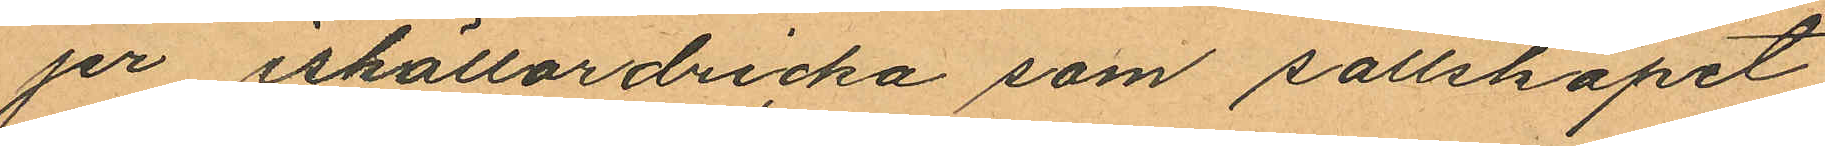jer iskällardricka som sällskapet
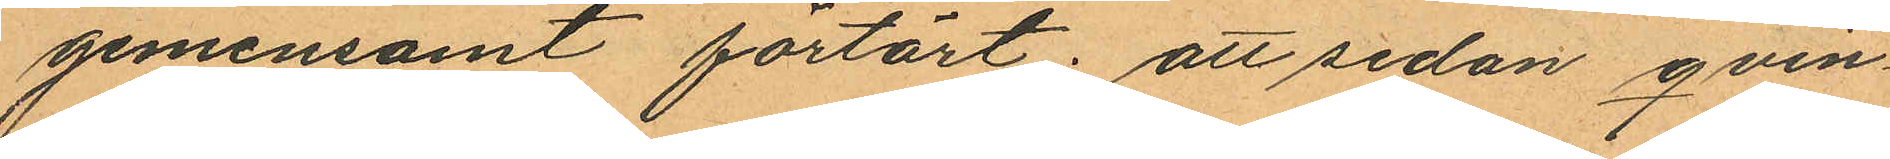gemensamt förtärt; att sedan qvin¬
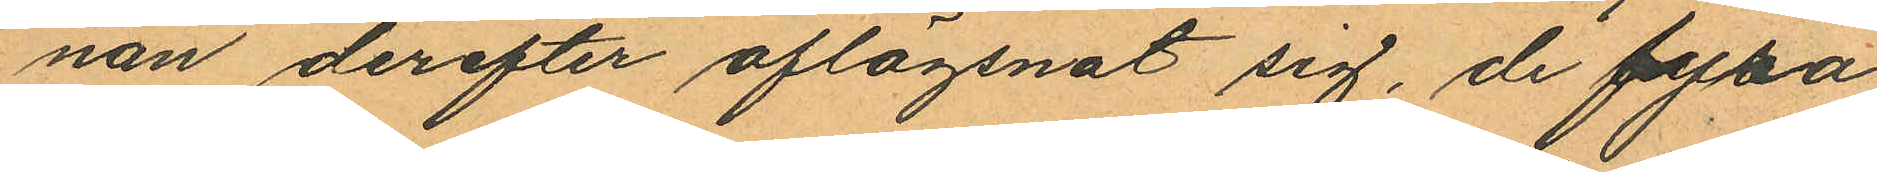nan derefter aflägsnat sig, de fyra
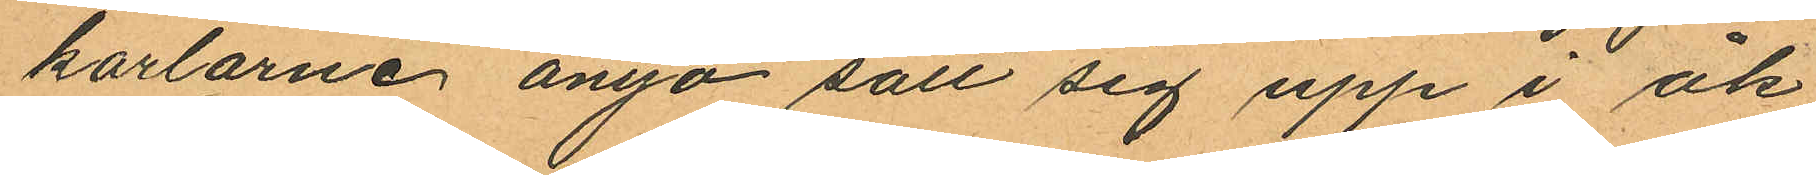karlarne ånyo sätt sig upp i åk¬
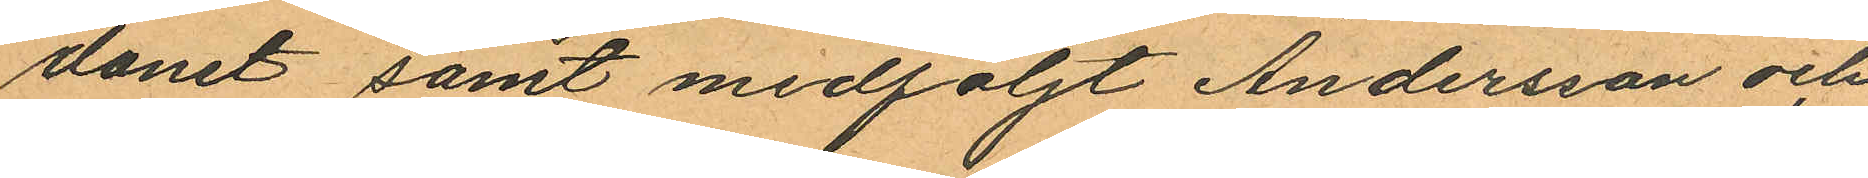donet samt medföljt Andersson och
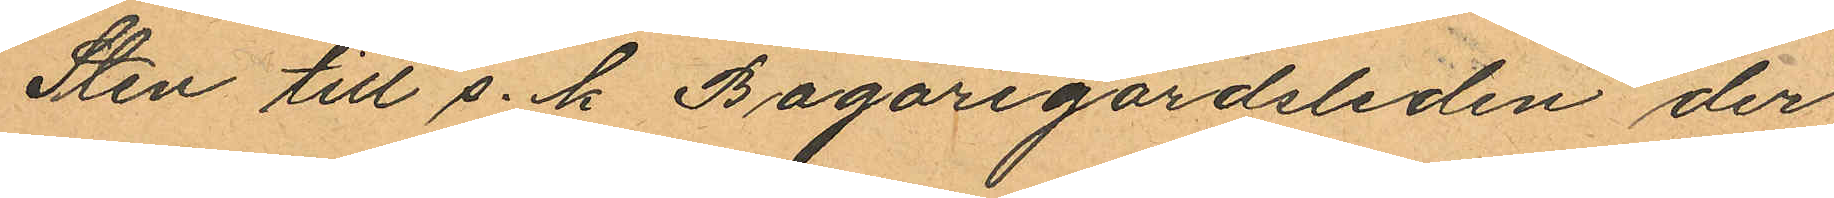Sten till s. k. Bagaregårdsleden der
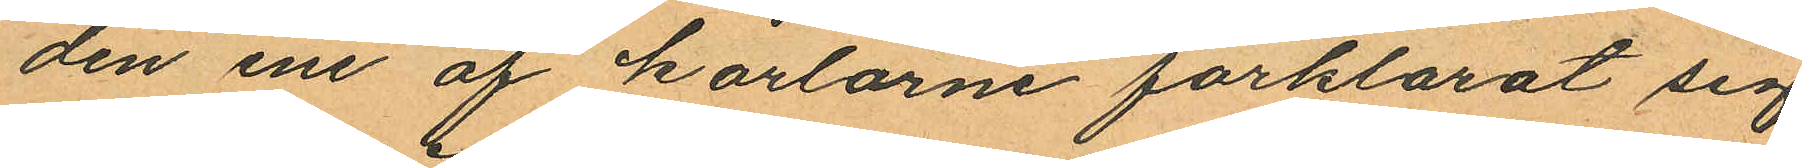den ene af karlarne förklarat sig
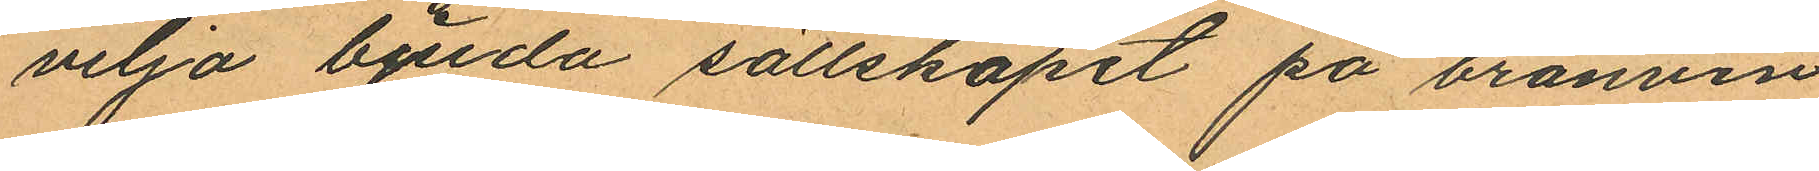velja beda sällskapet på bränvin
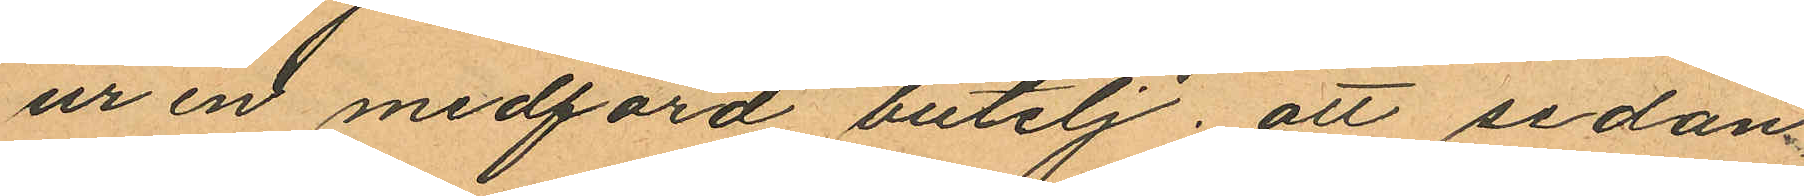ur en medförd butelj; att sedan
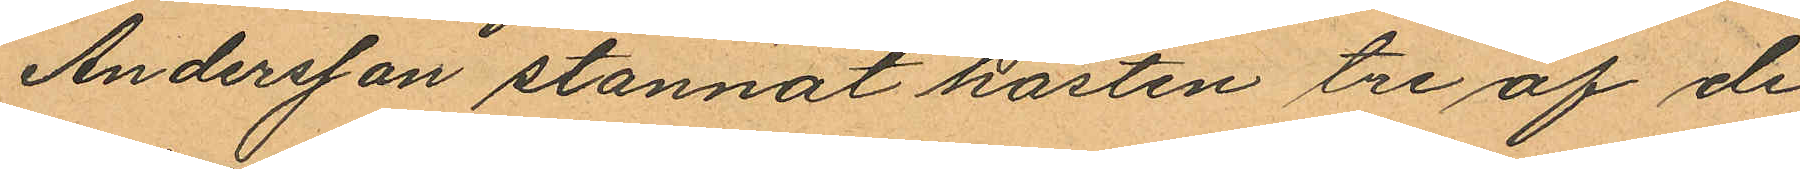Andersson stannat hästen tre af de
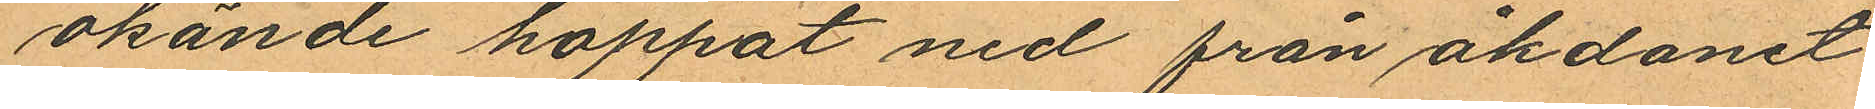okände hoppat ned från åkdonet
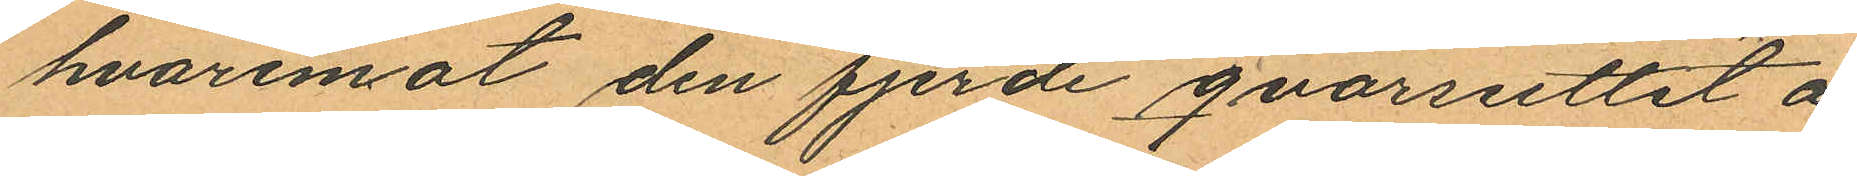hvaremot den fjerde qvarsuttit å
